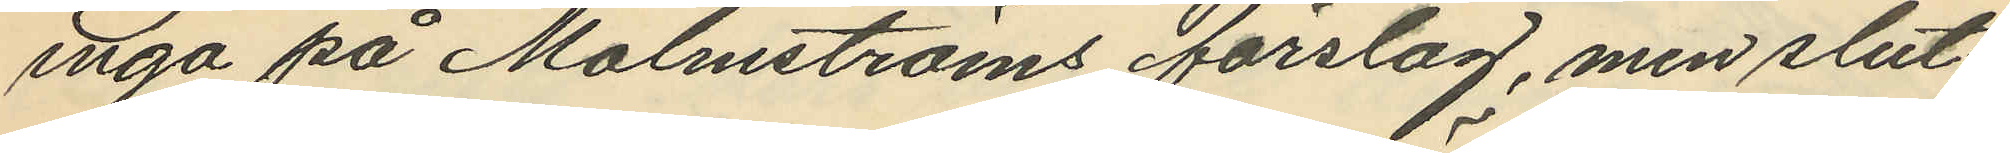ingå på Malmströms förslag, men slut¬
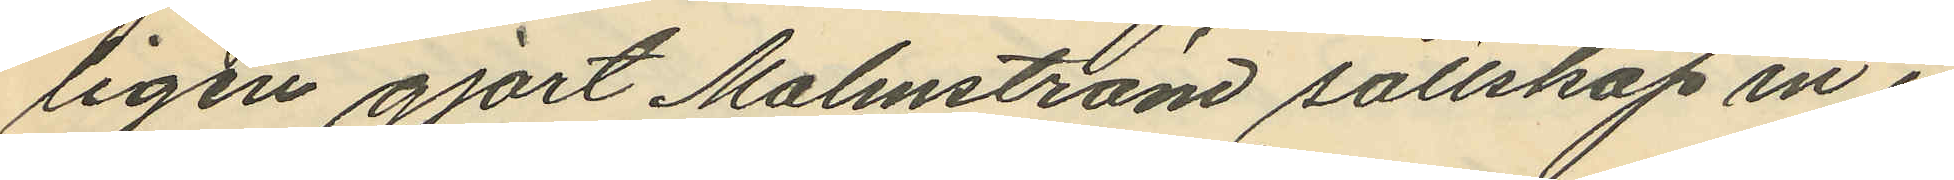ligen gjort Malmström sällskap in i
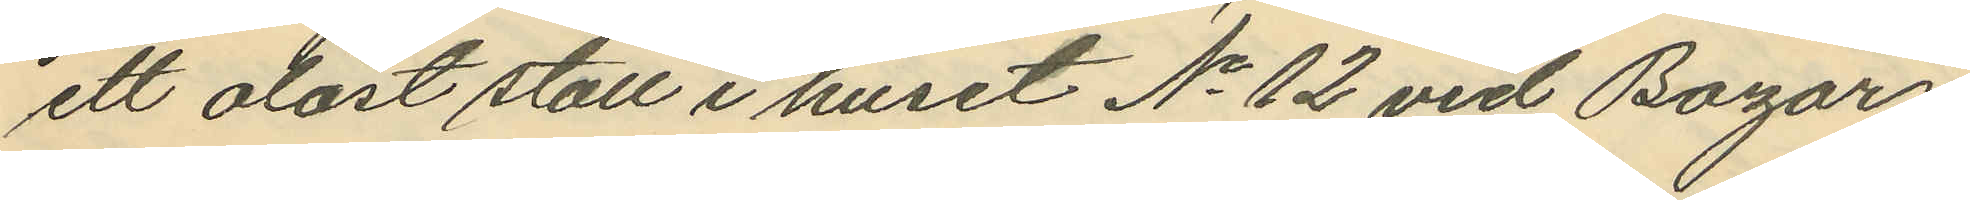ett olåst stall i huset No 12 vid Bazar¬
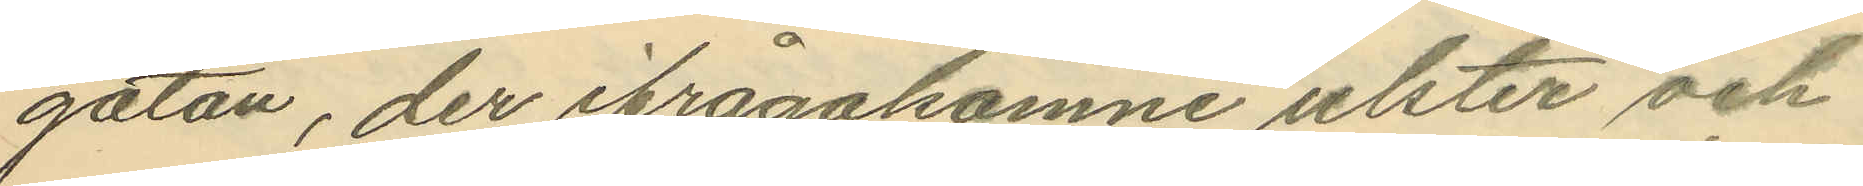gatan, der ifrågakomne ulster och
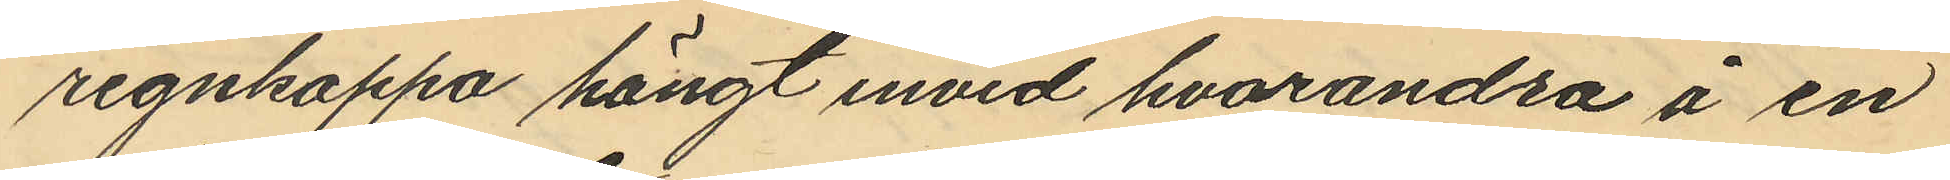regnkappa hängt invid hvarandra å en
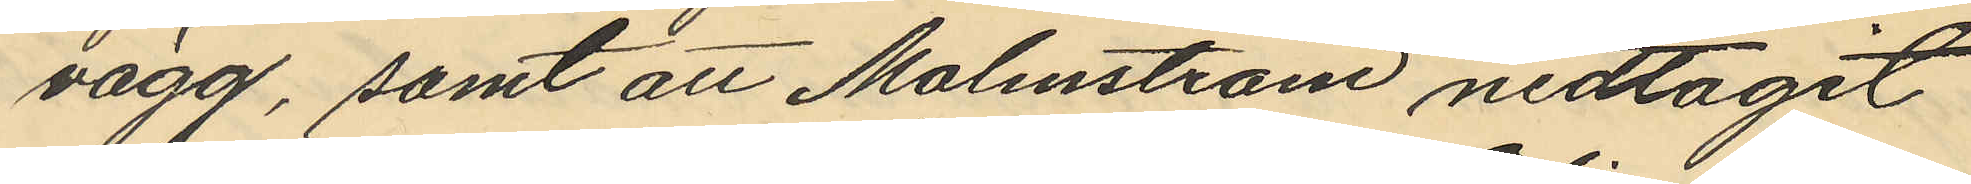vägg, samt att Malmström nedtagit
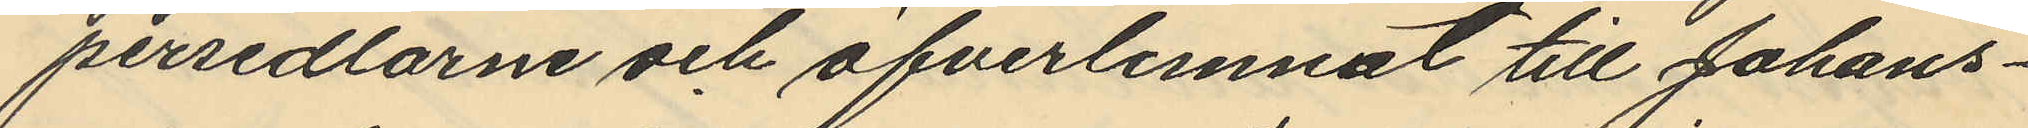persedlarne och öfverlemnat till Johans¬
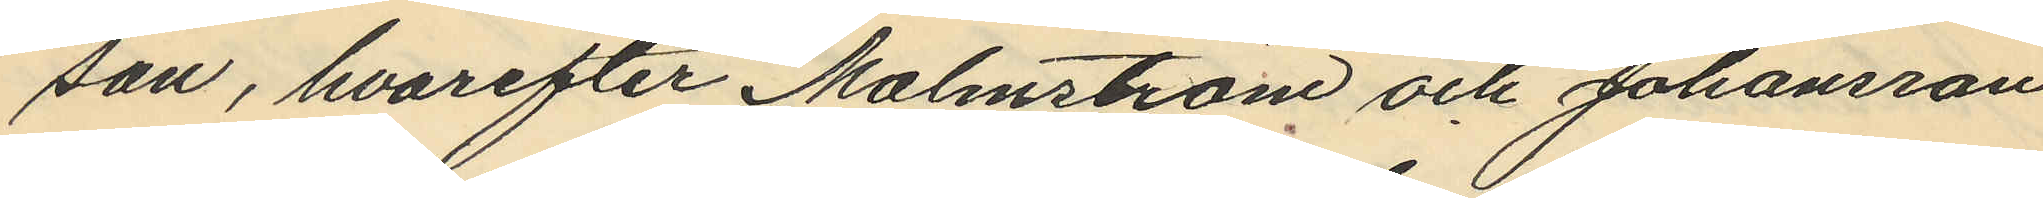son, hvarefter Malmström och Johansson
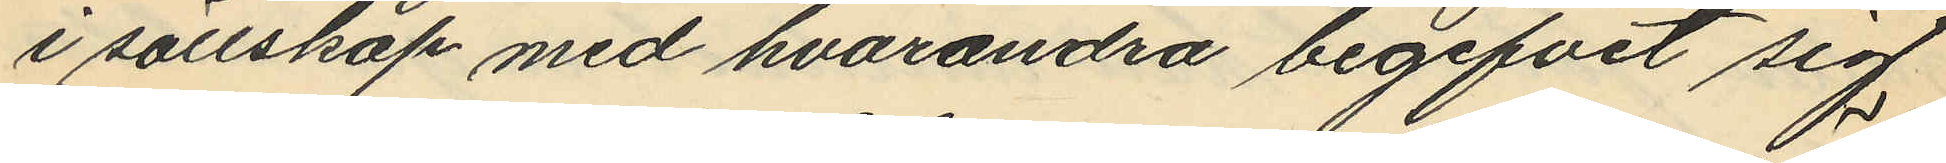i sällskap med hvarandra begifvit sig
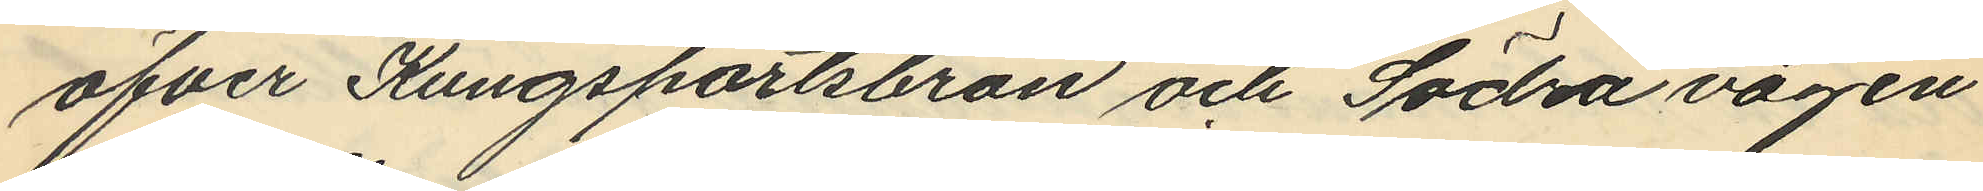öfver Kungsportsbron och Södra vägen
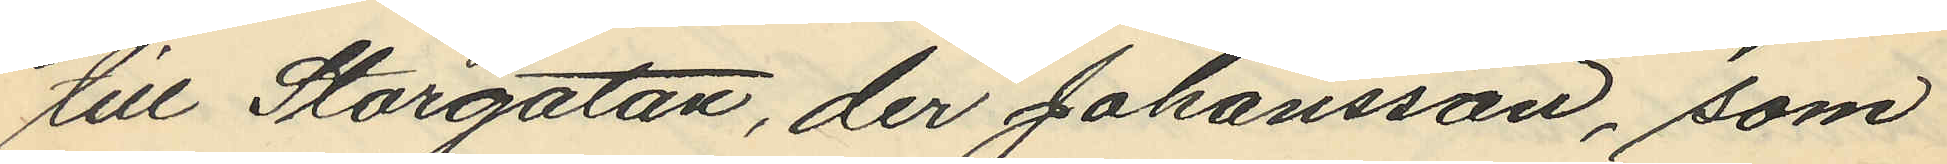till Storgatan, der Johansson, som
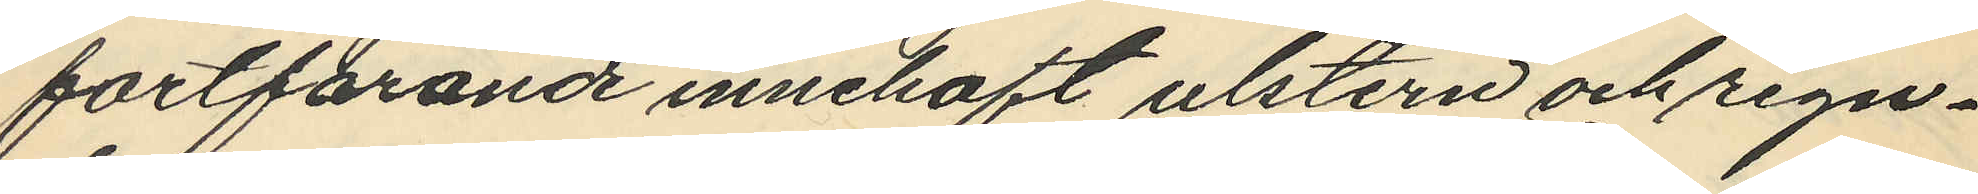fortförande innehaft ulstern och regn¬
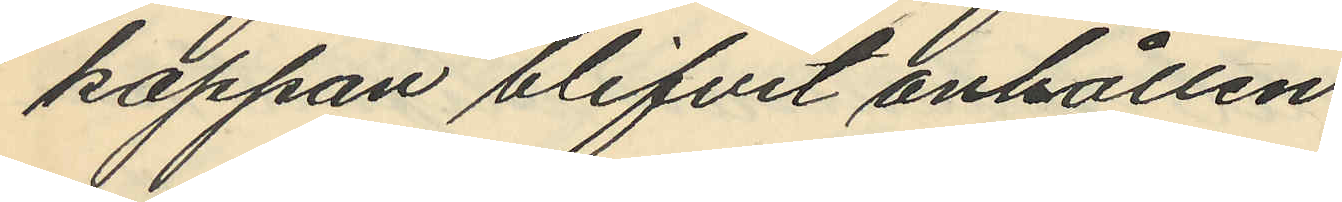kappan blifvit anhållen
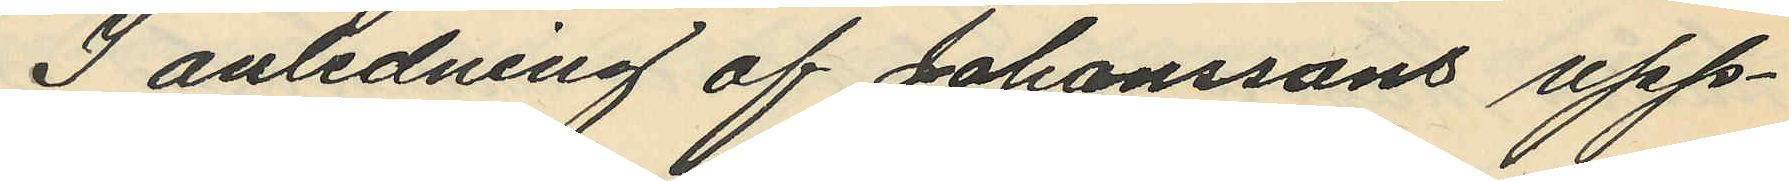I anledning af Johanssons upp¬
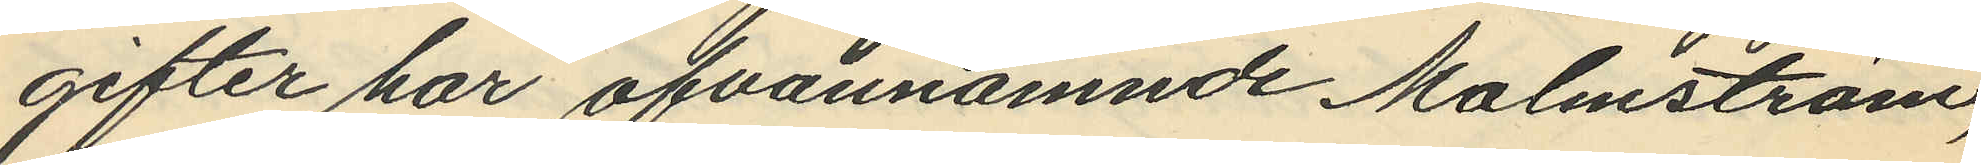gifter har ofvannämnde Malmström,
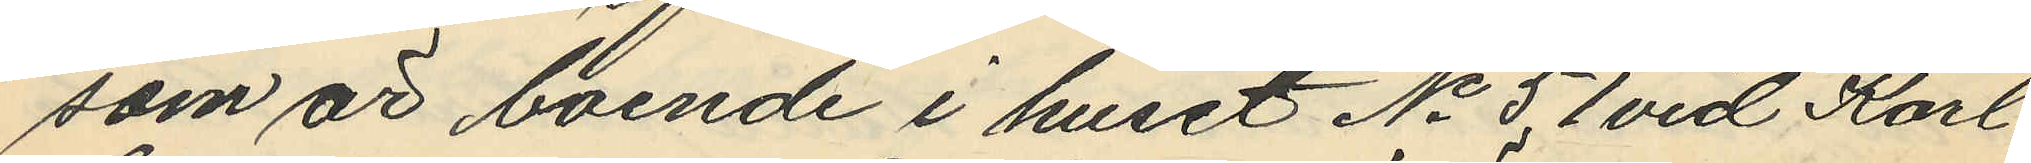som är boende i huset No 51 vid Karl
